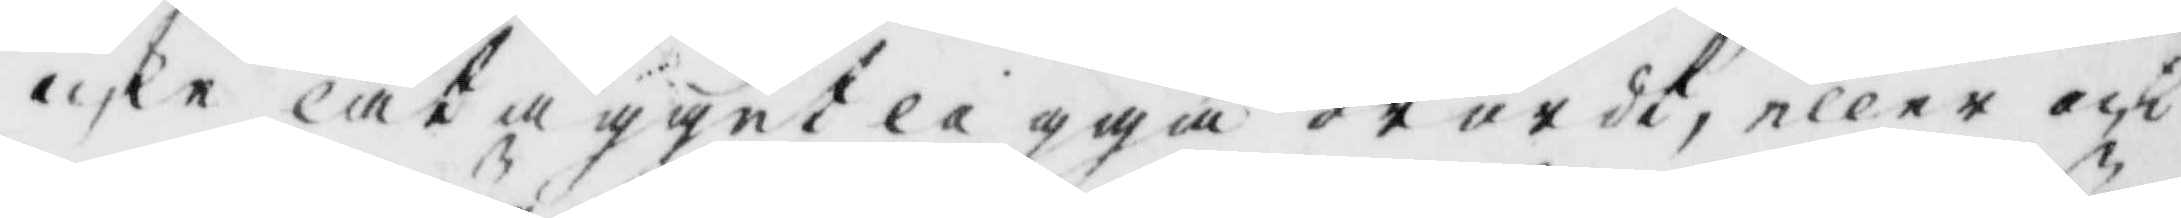icke lät ägget ligga orört, eller och
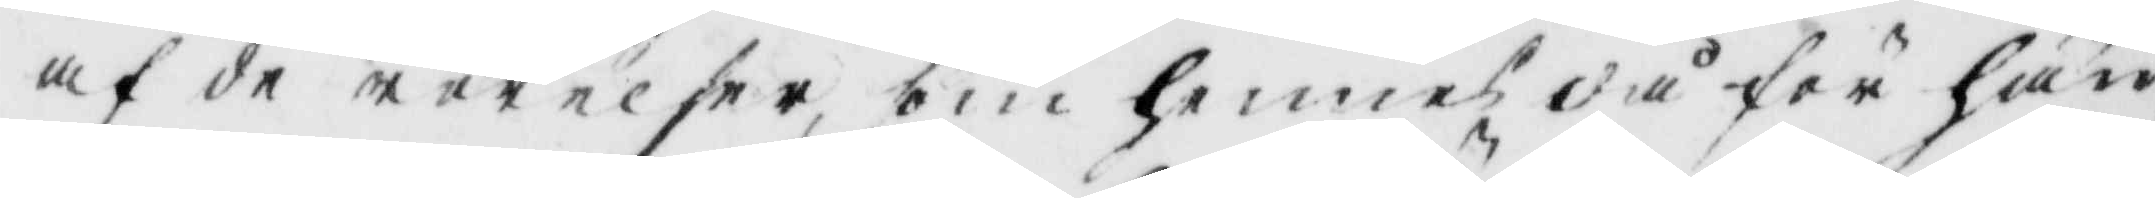af de rörelser som hennes då för hän¬
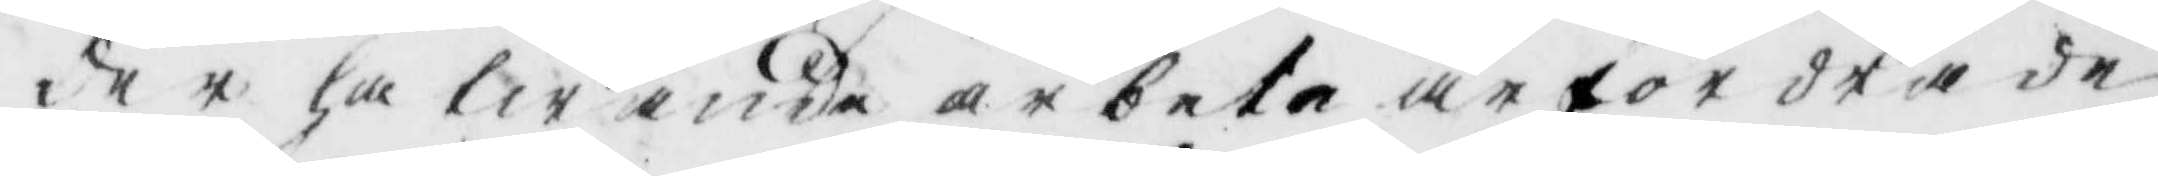der hafwande arbete ärfordra de
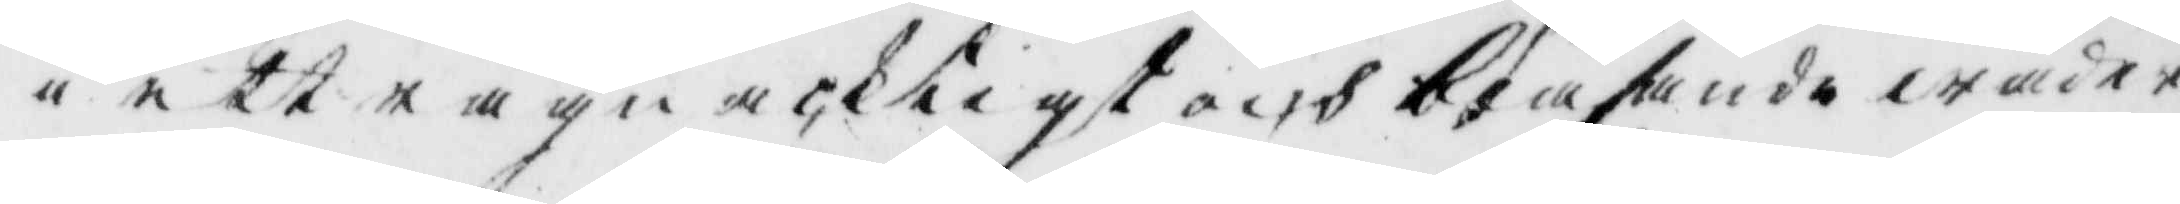i ett rägnacktigt och blåsande wäder
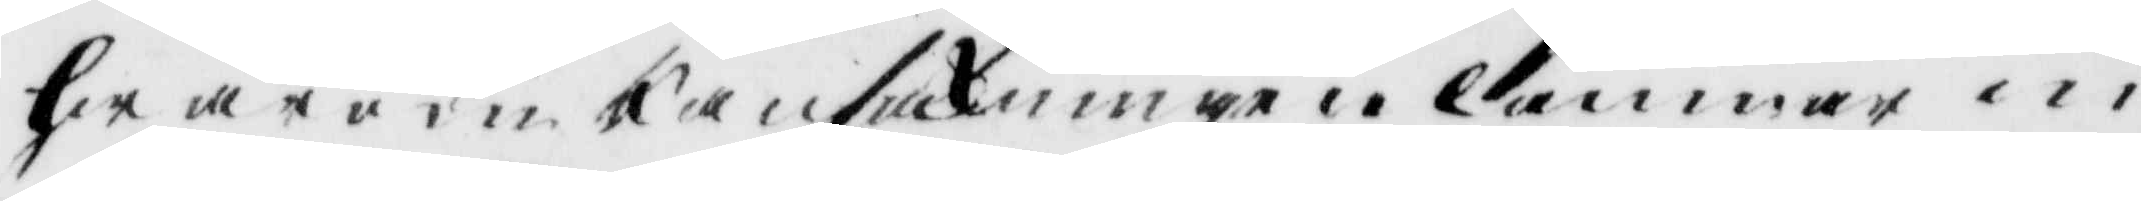hwarom ransackningen lämnar in¬
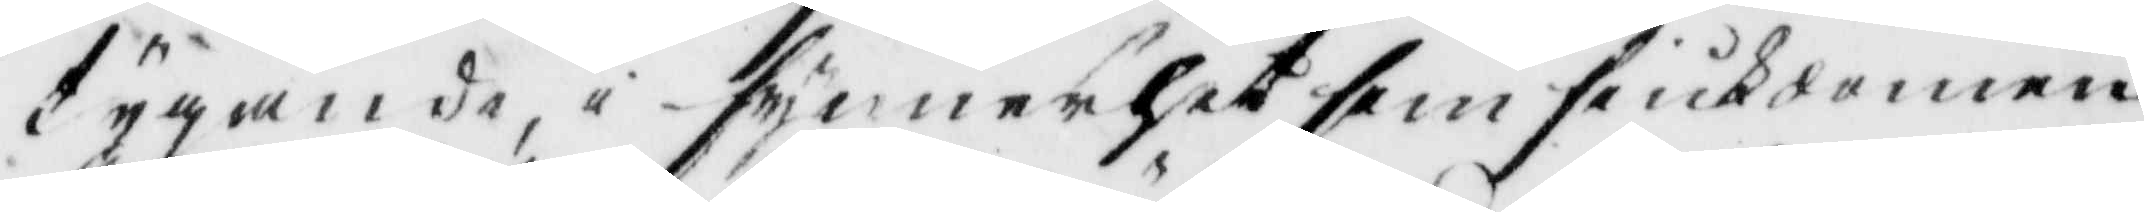tygande, i synnerhet som siukdomen
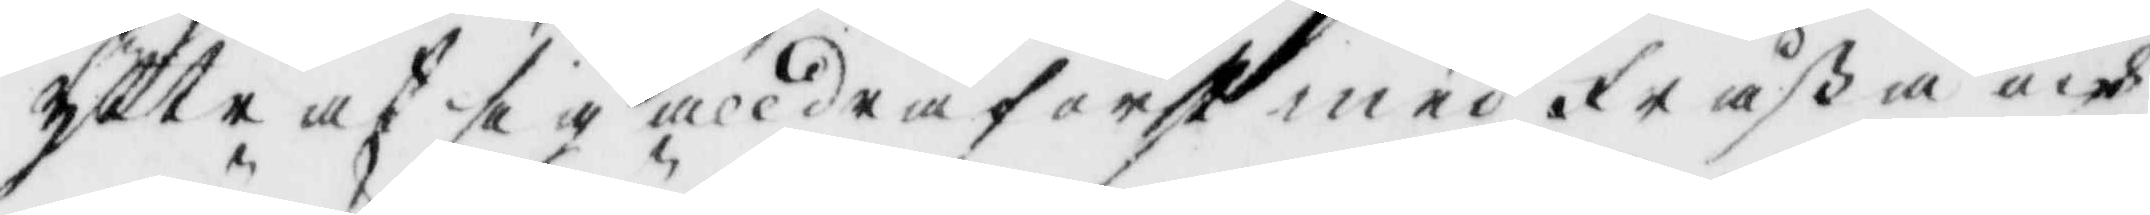yttrat sig alldra först med fråßa och
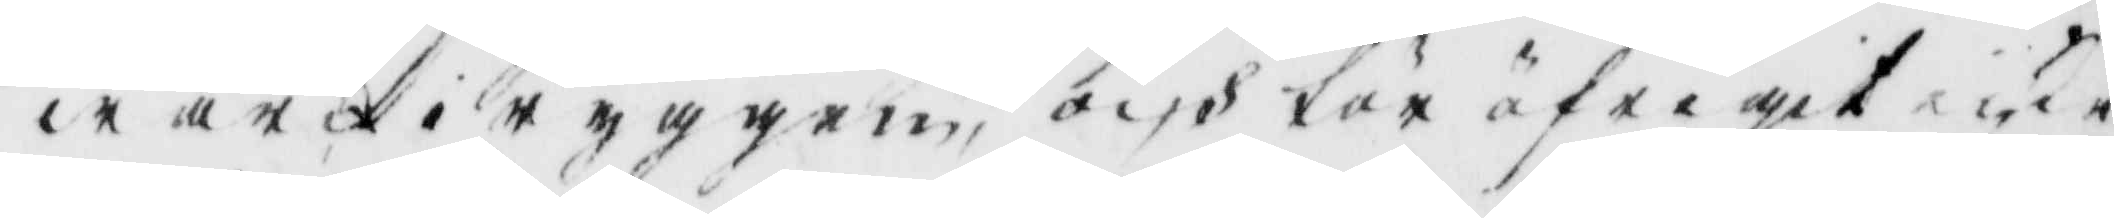wärk iryggen; och för öfrigit icke
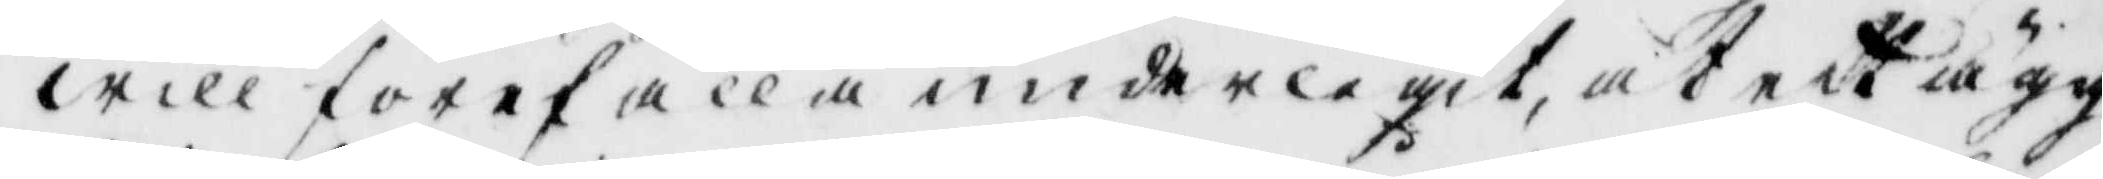will förefalla underligit, at ett ägg
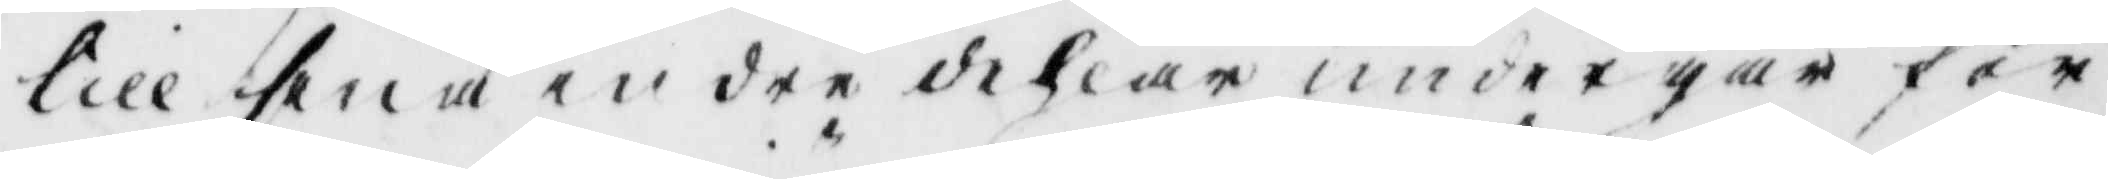till sina indre dehlar undergår för¬
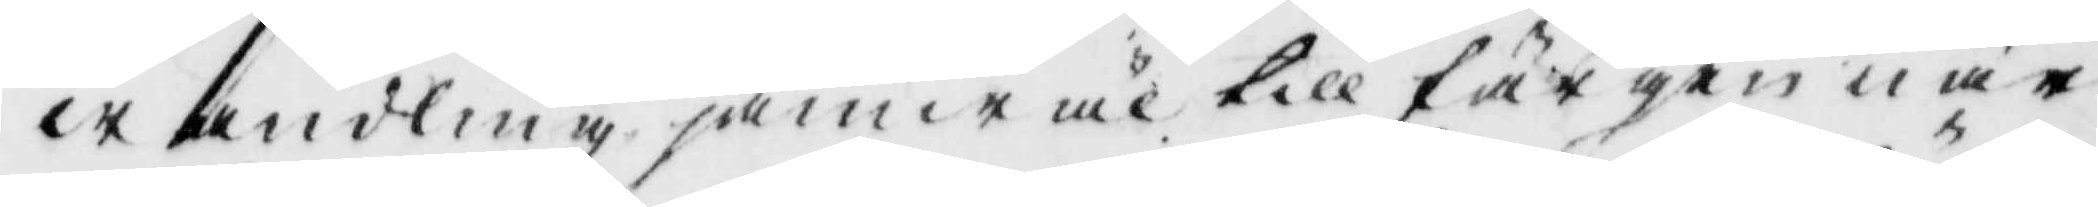wandling jämwäl till färgen när
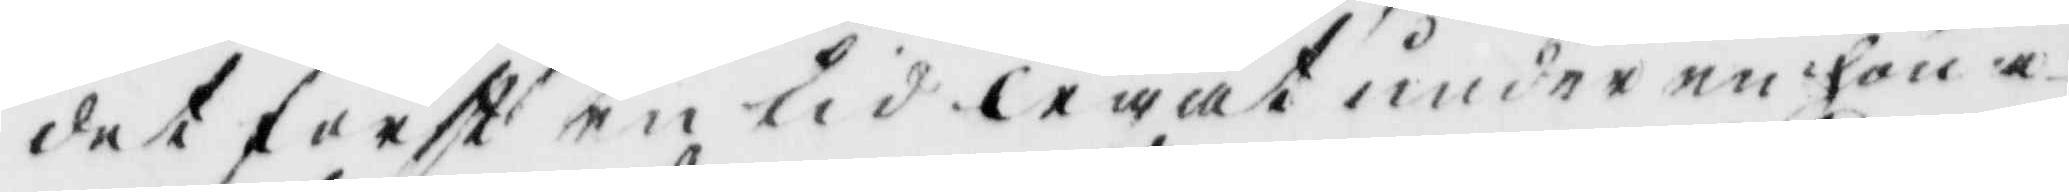det först en tid legat under en höna
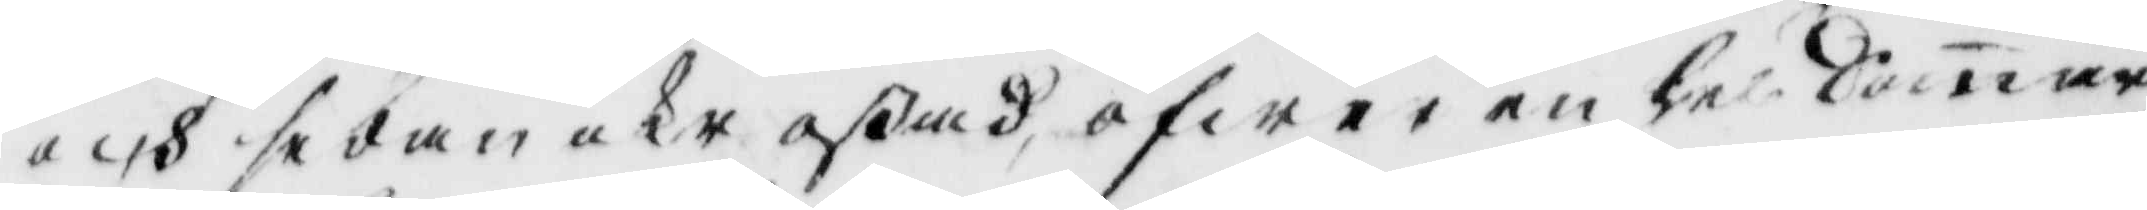och sedan icke oßadm öfwer en hel Somar,
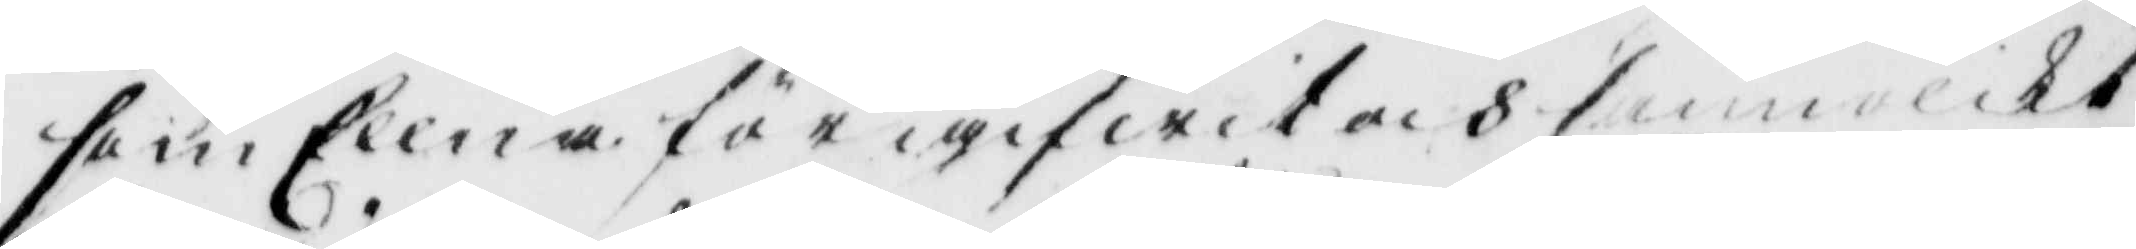som Ellna föregifwit och som olikt
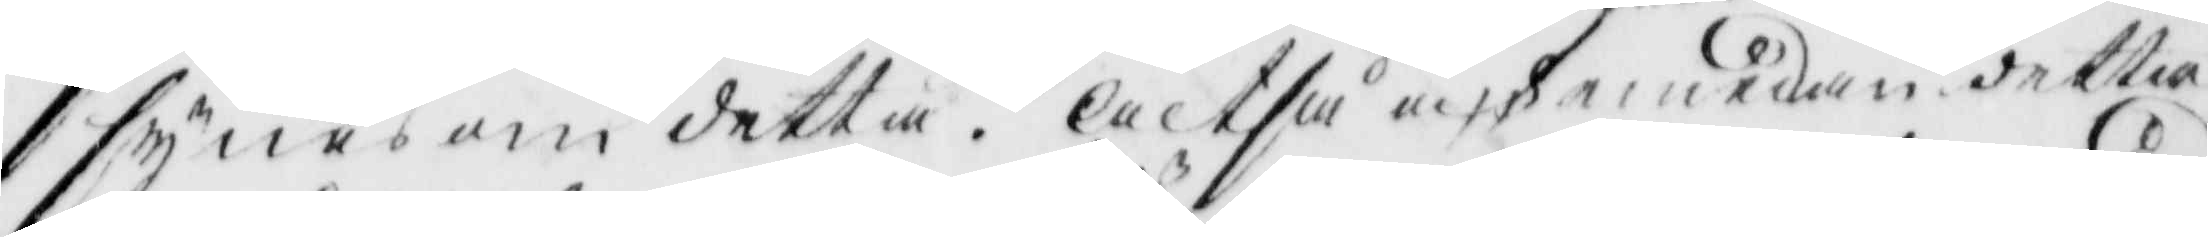synes om detta. Altså och emedan detta
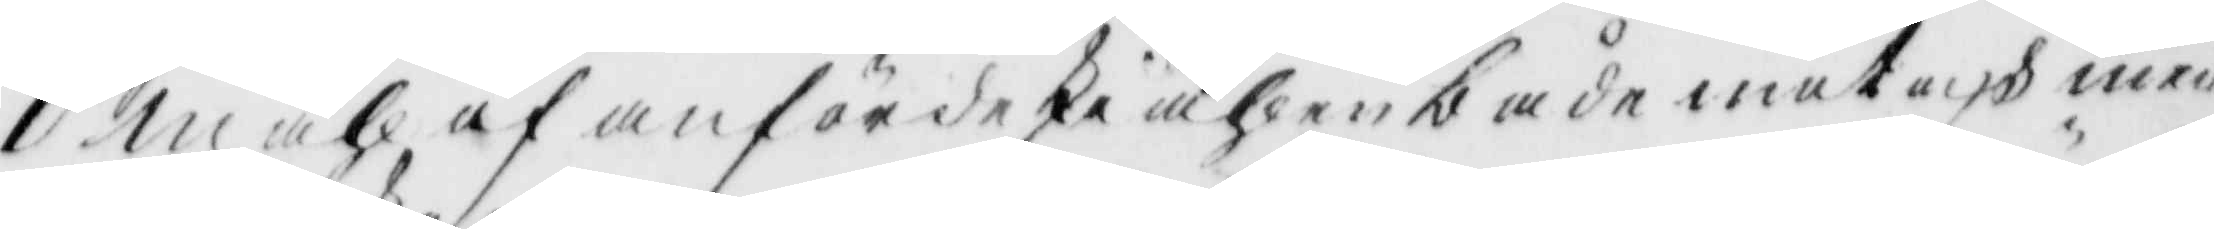Måhl af anförde skiähl en både mot och med
